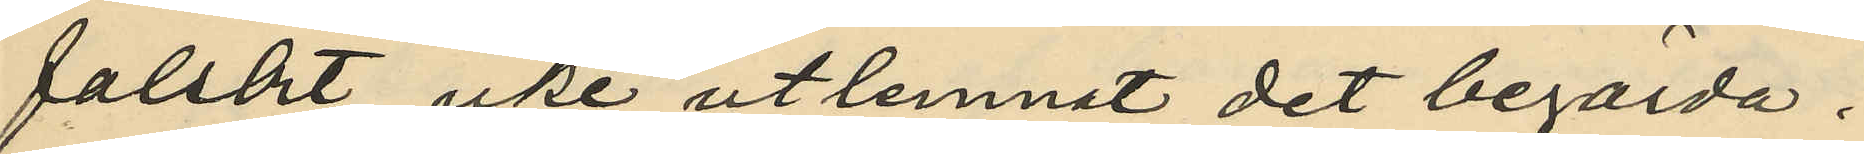falskt, icke utlemnat det begärda;
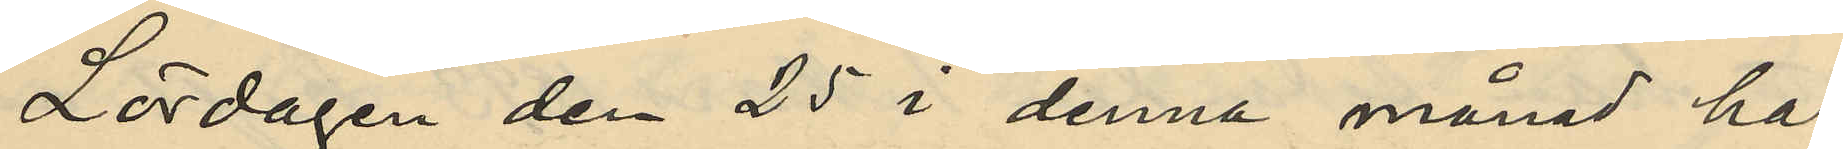Lördagen den 25 i denna månad har
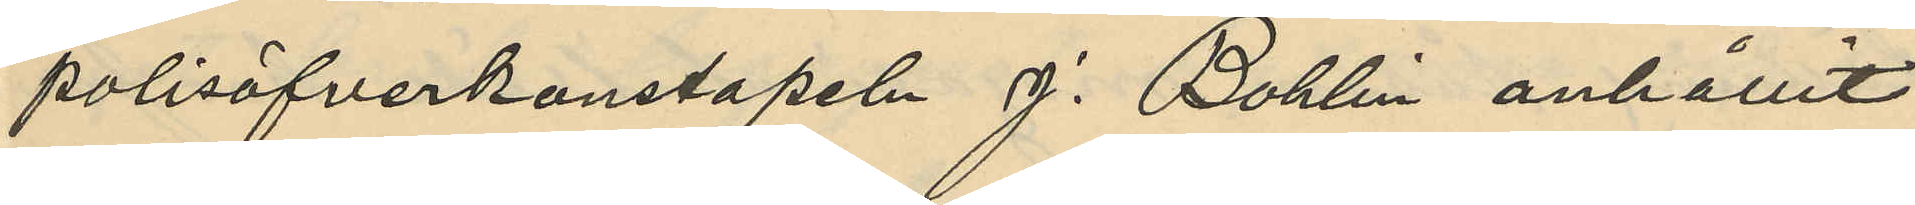polisöfverkonstapeln J. Bohlin anhållit
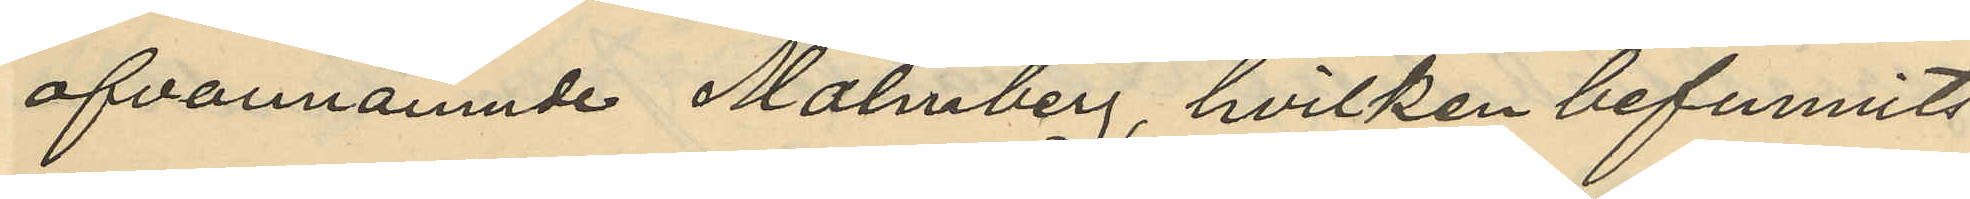ofvannämnde Malmberg, hvilken befunnits
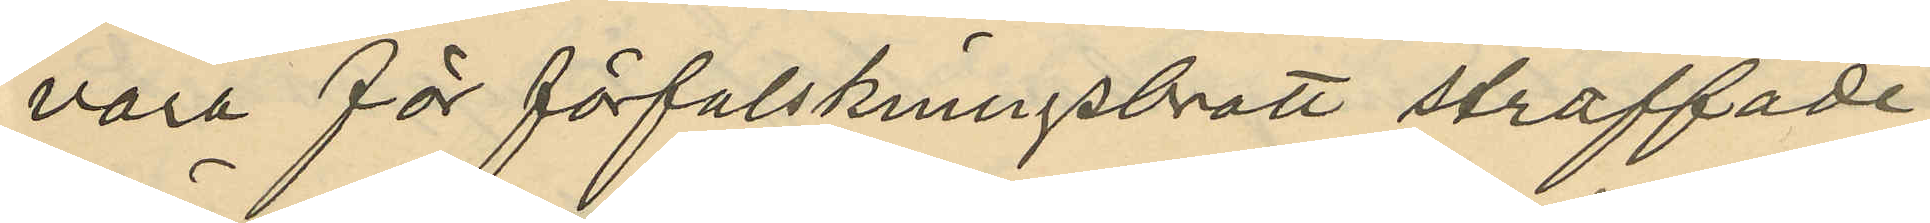vara för förfalskningsbrott straffade
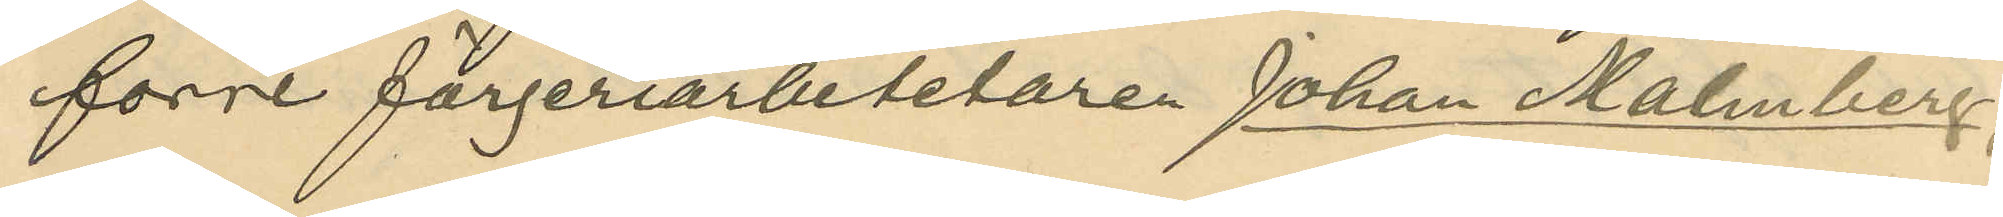förre färgeriarbetetaren Johan Malmberg,
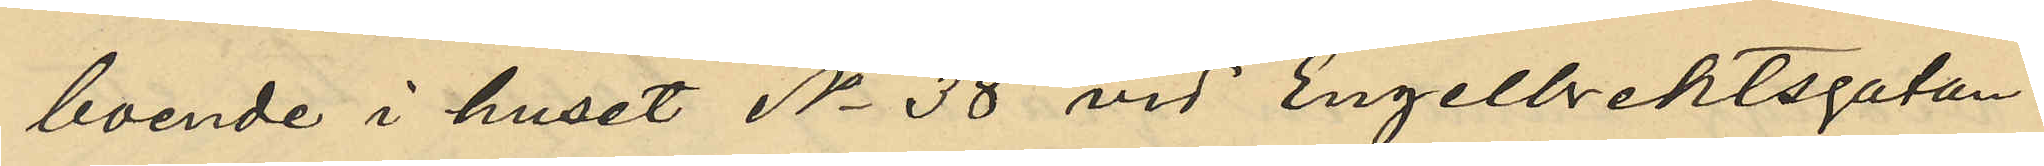boende i huset No 38 vid Engelbrektsgatan.
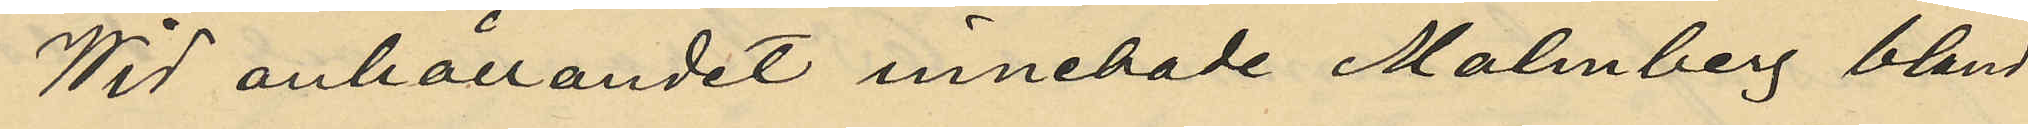Wid anhållandet innehade Malmberg, bland
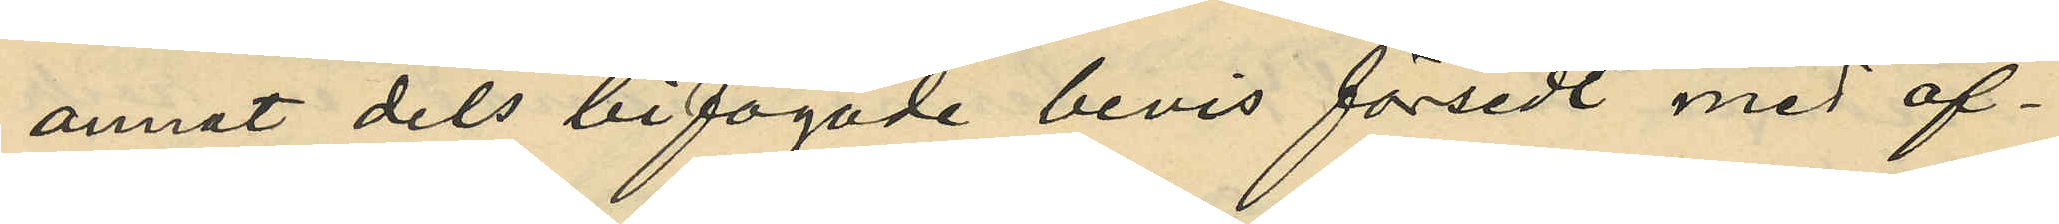annat dels bifogade bevis försedt med of¬
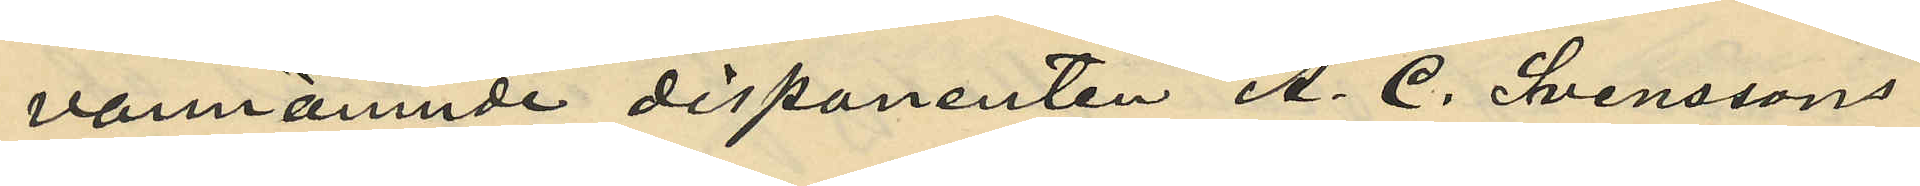vannämnde disponenten A. C. Svenssons
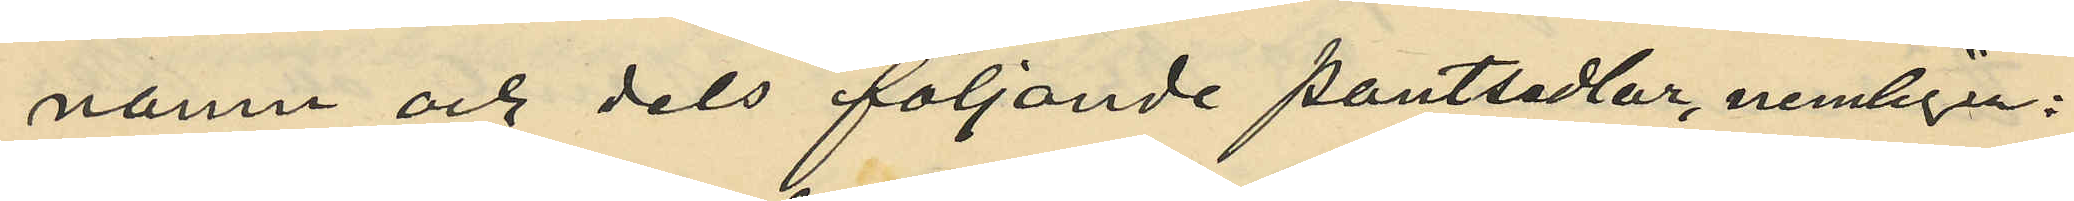namn och dels följande pantsedlar, nemligen:
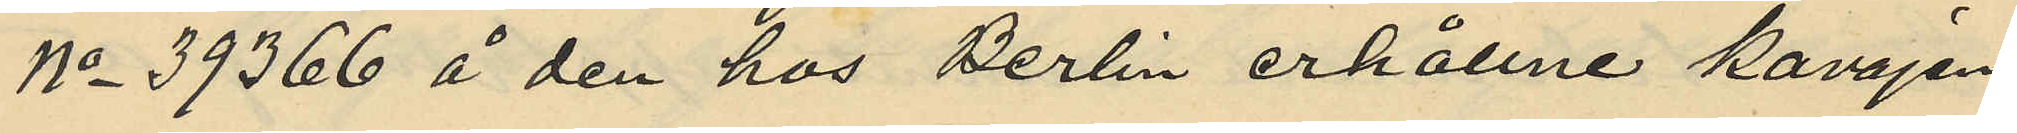No 39366 å den hos Berlin erhållne kavajen
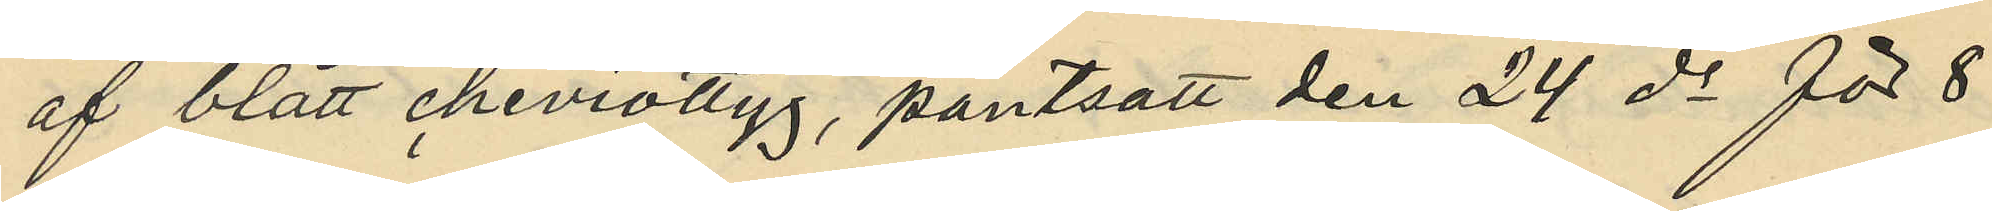af blått cheviottyg, pantsatt den 24 ds för 8
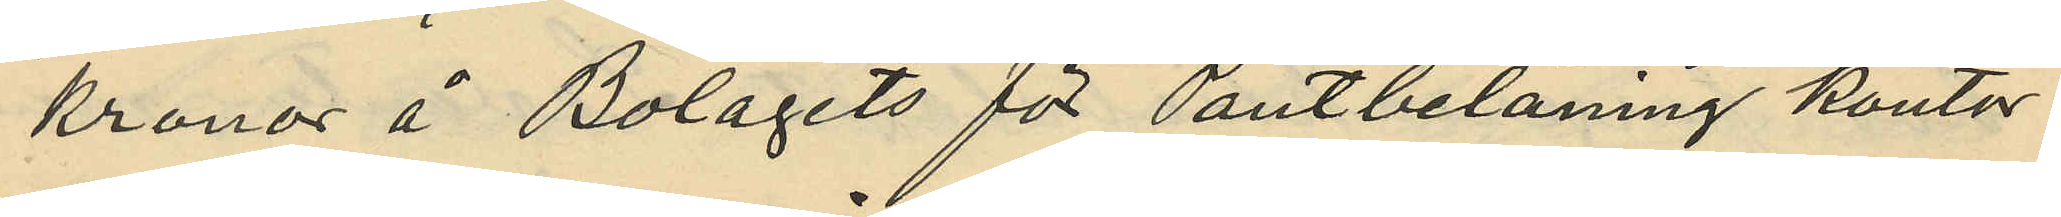kronor å Bolagets för Pantbelåning kontor
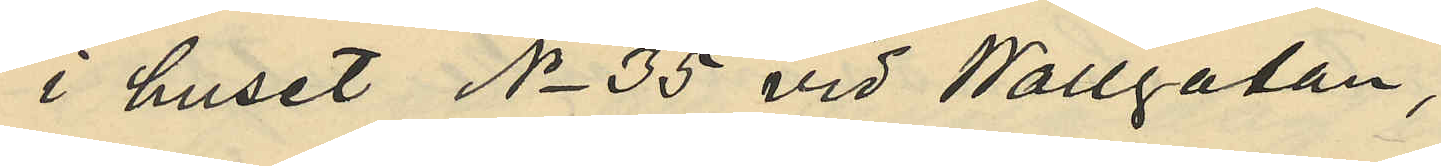i huset No 35 vid Wallgatan;
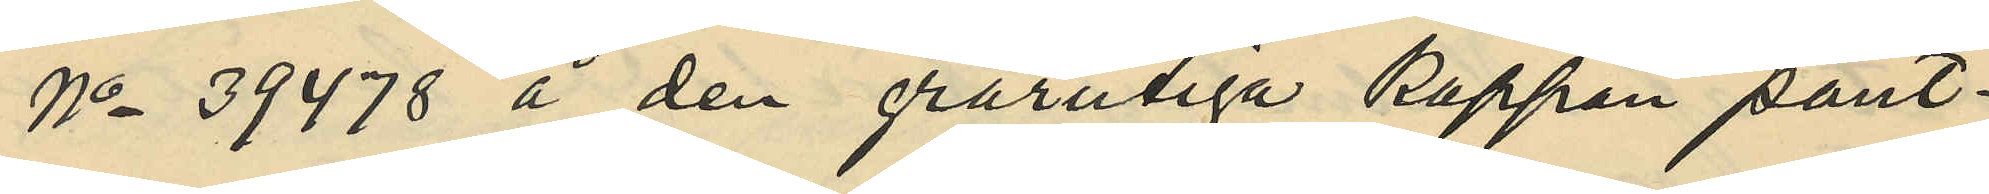No 39478 å den grårutiga Kappan pant¬
